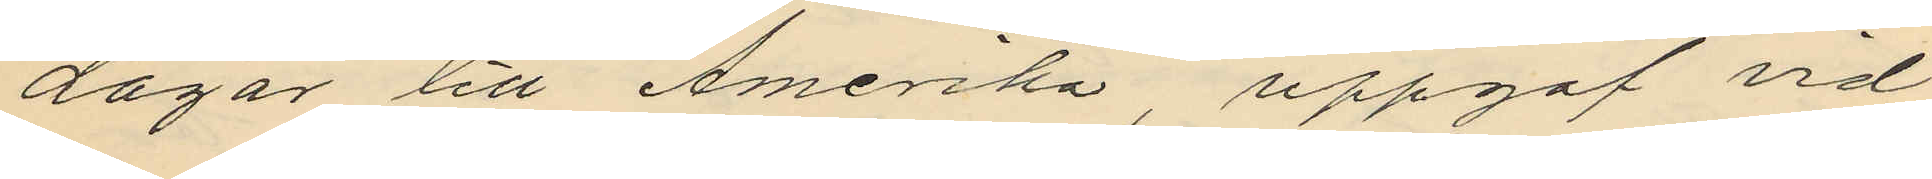dagar till Amerika, uppgaf vid
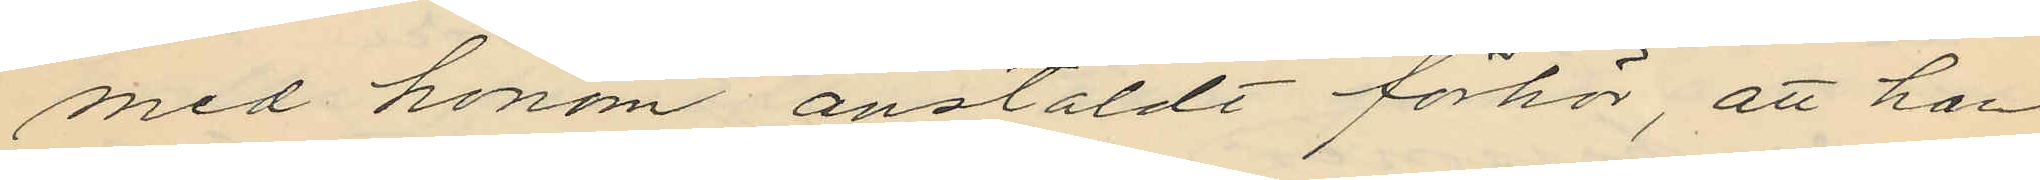med honom anstäldt förhör, att han
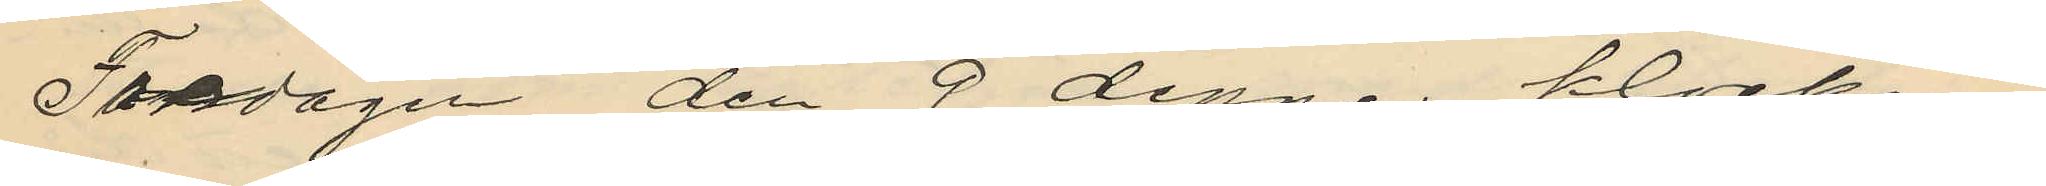Torsdagen den 9 dennes klockan
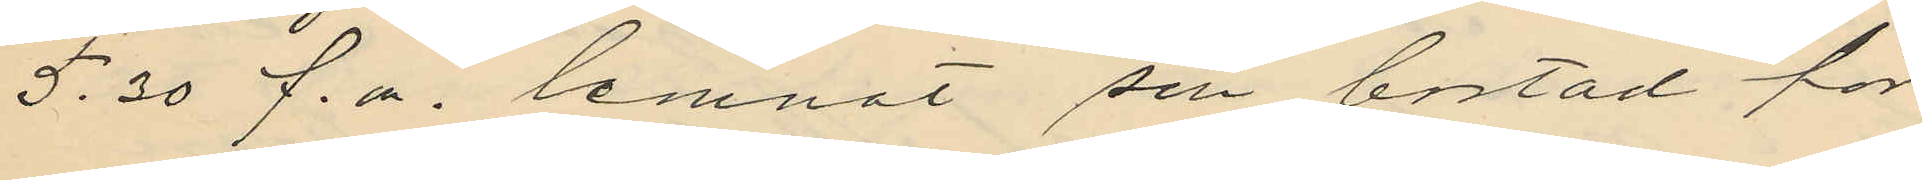5.30 f.m. lemnat sin bostad för
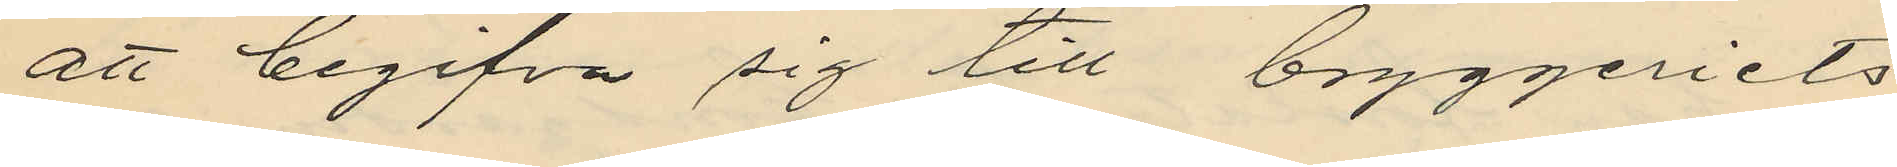att begifva sig till bryggeriets
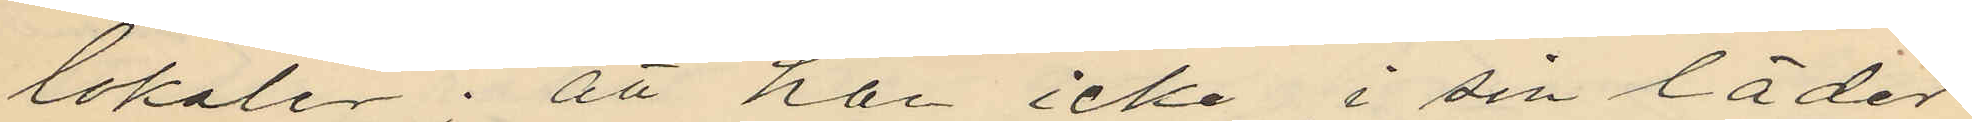lokaler; att han icke i sin läder¬
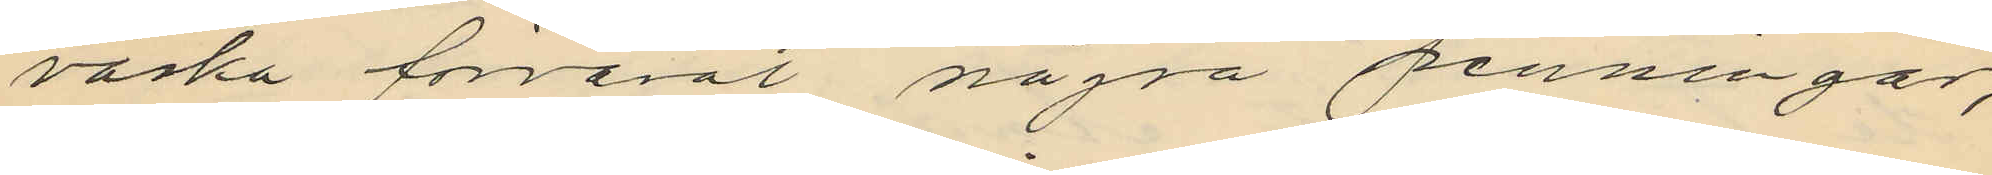väska förvarat några penningar,
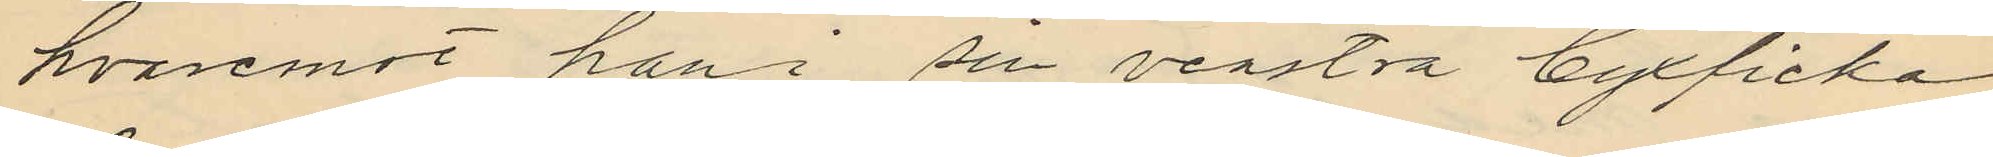hvaremot han i sin venstra byxficka
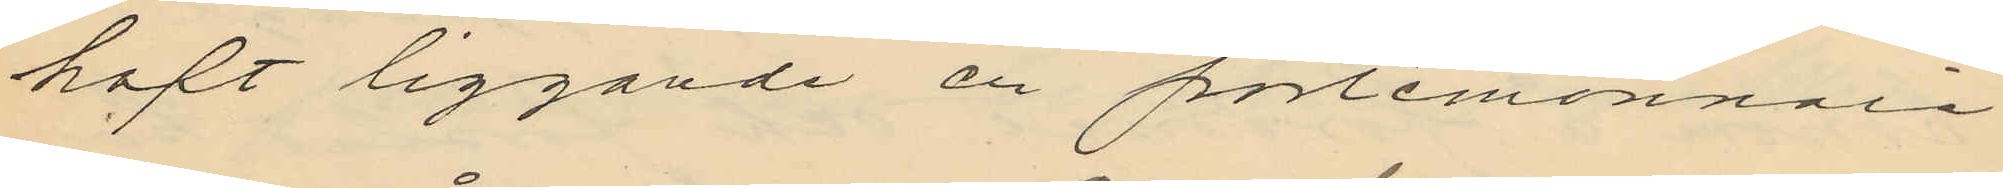haft liggande en portemonnaie
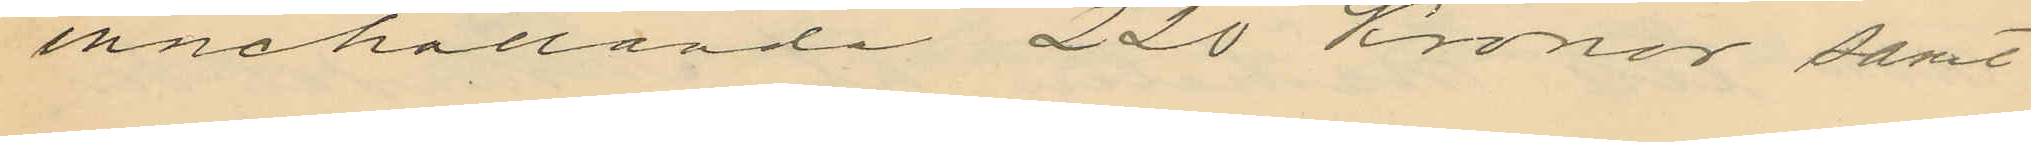innehållande 220 Kronor samt
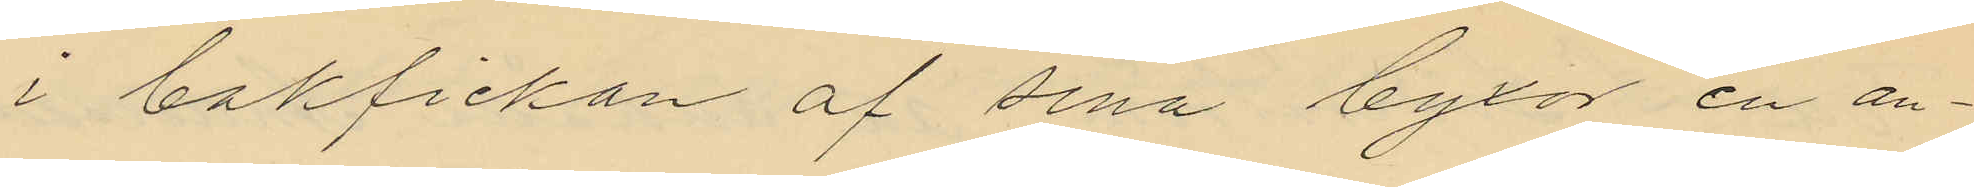i bakfickan af sina byxor en an¬
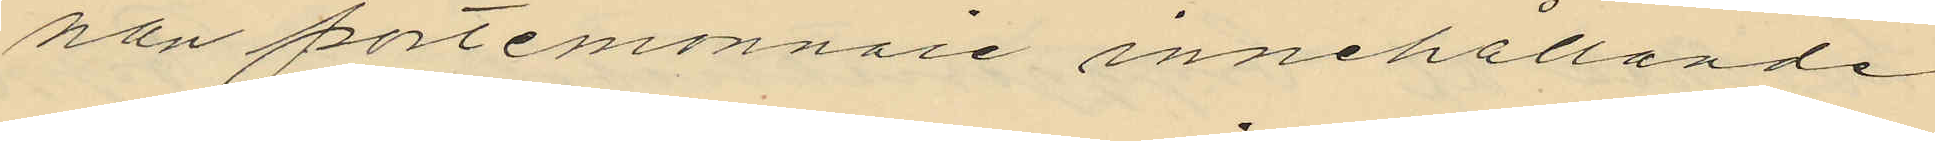nan portemonnaie innehållande
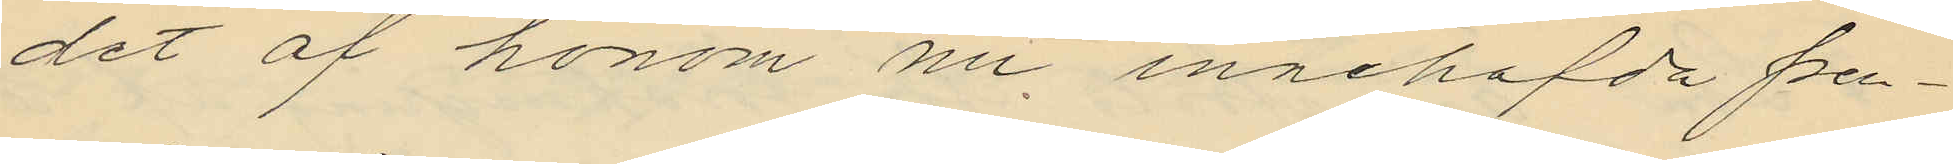det af honom nu, innehafda pen¬
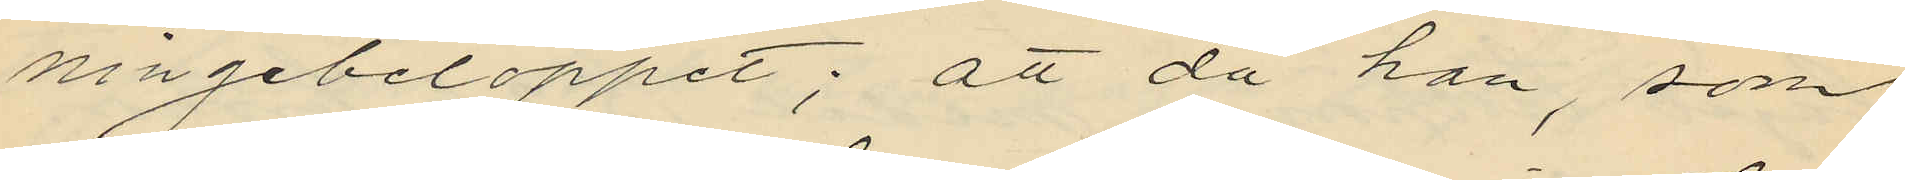ningebeloppet; att då han, som
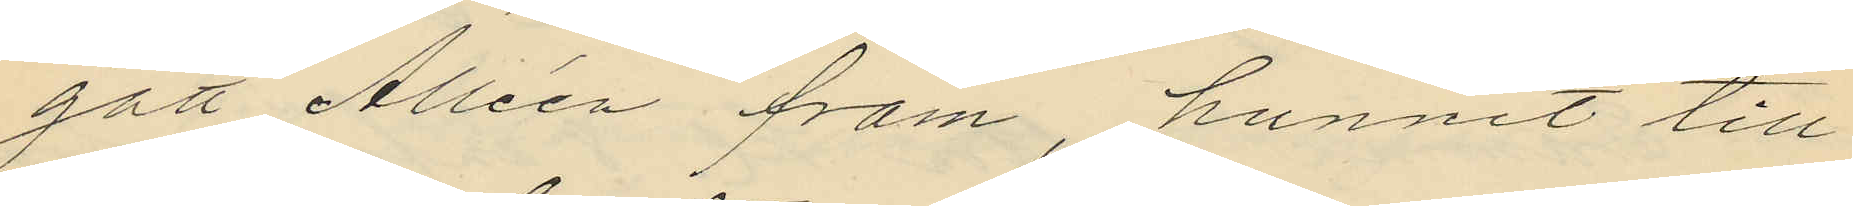gått Alléen fram hunnit till
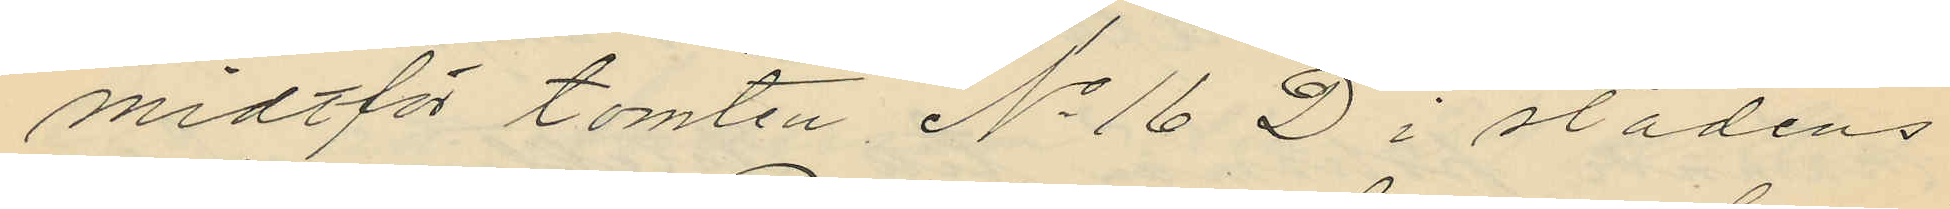midtför tomten No 16 D i stadens
